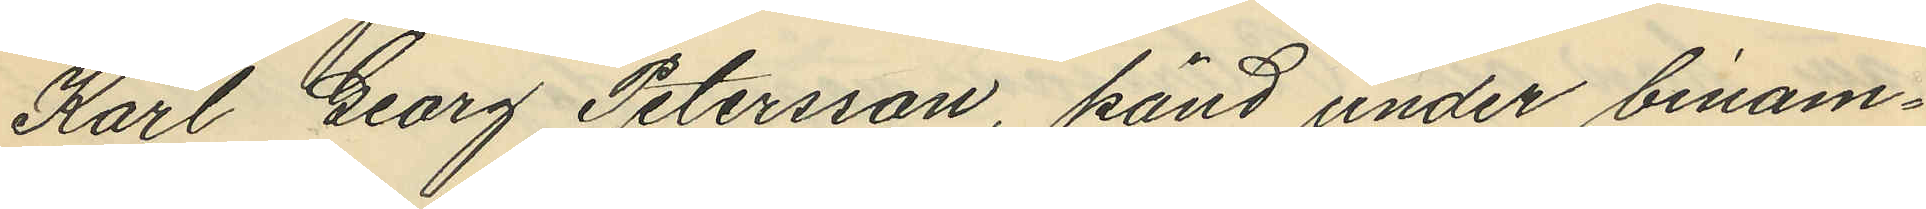Karl Georg Petersson, känd under binam¬
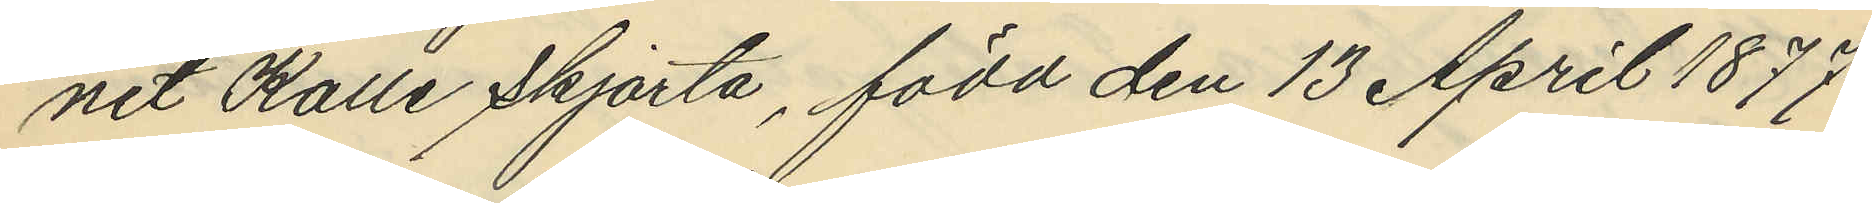net Kalle skjorta, född den 13 April 1877
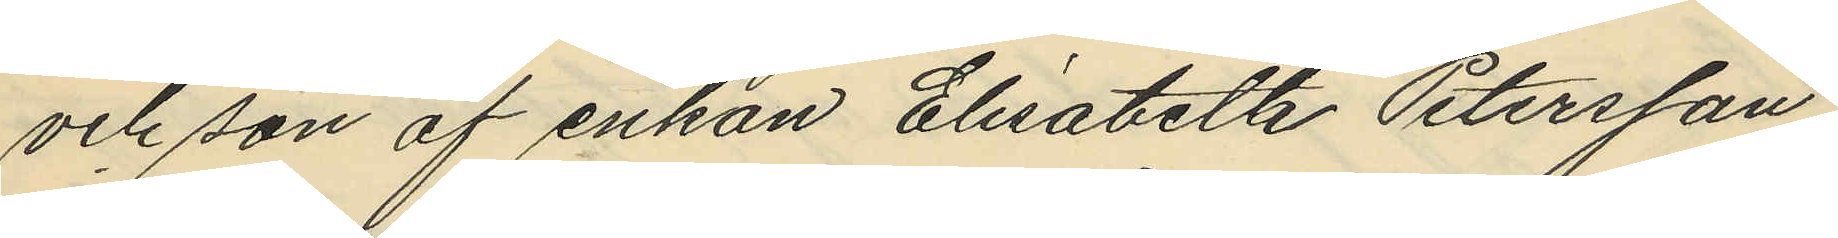och son af enkan Elisabeth Petersson
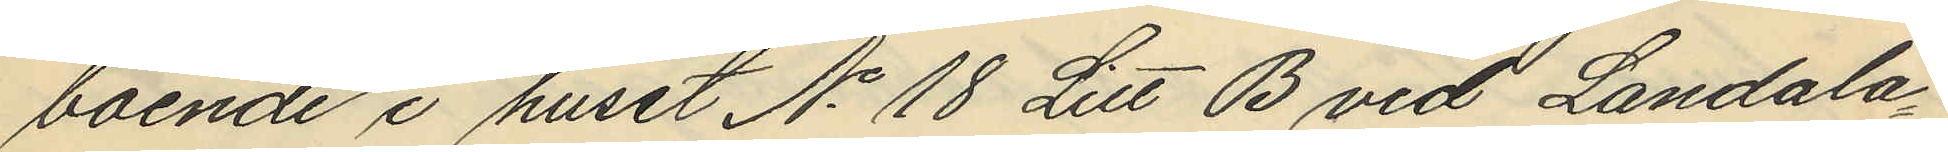boende i huset No 18 Litt B vid Landala
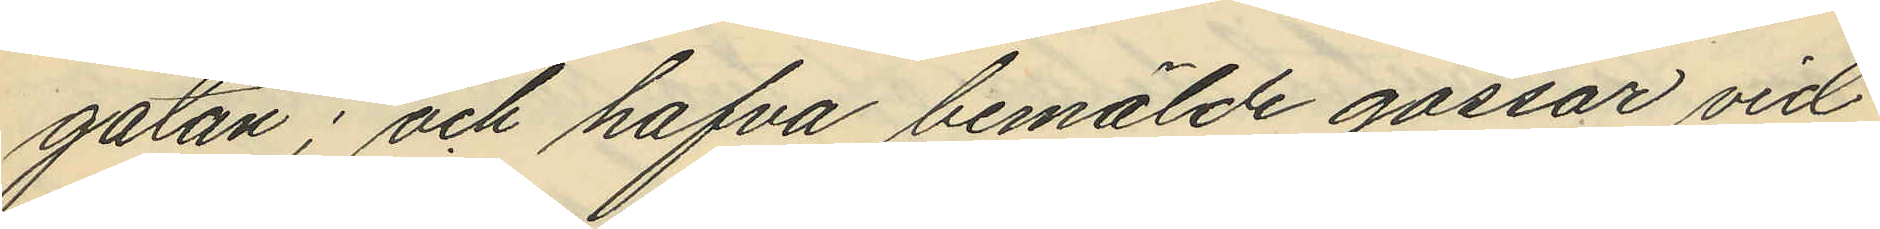gatan; och hafva bemälde gossar vid
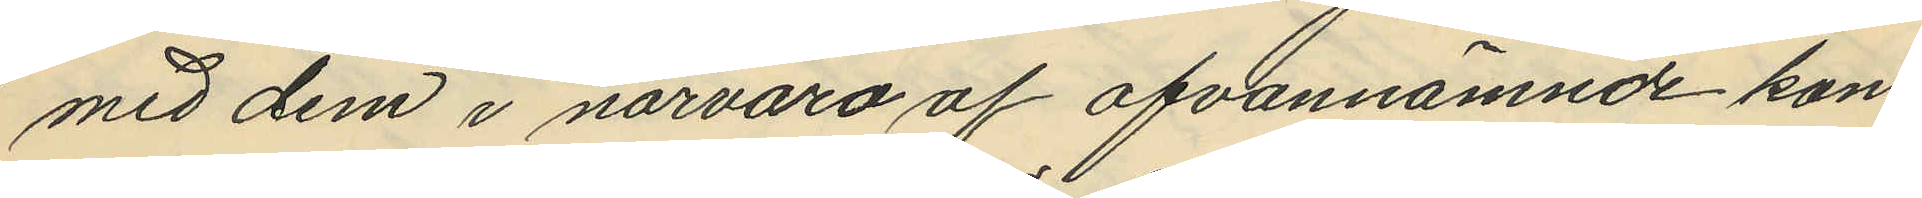med dem i närvaro af ofvannämnde kon¬
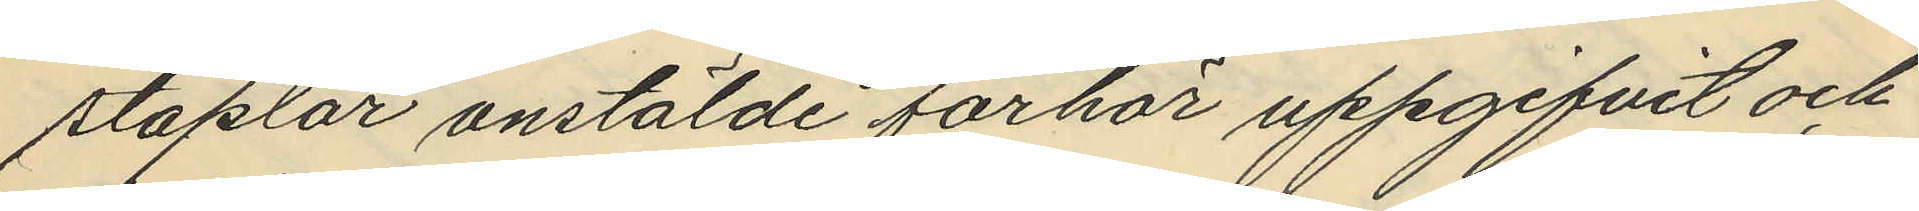staplar anstälde förhör uppgifvit och
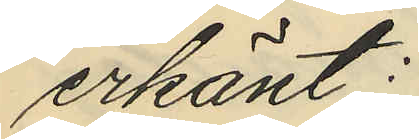erkänt:
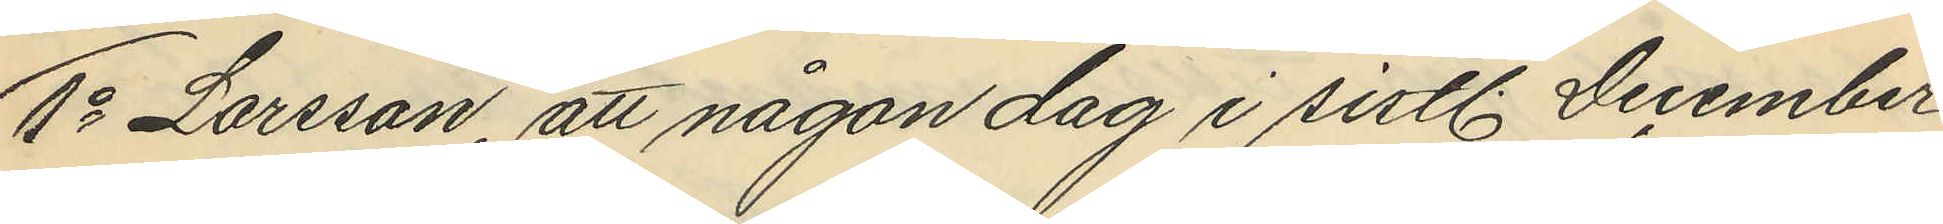1o Larsson, att någon dag i sistl. December
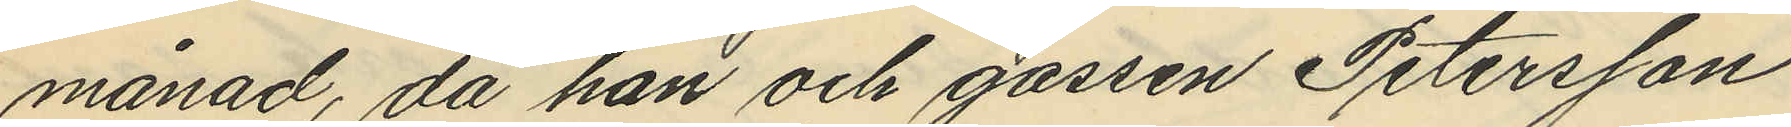månad, då han och gossen Petersson
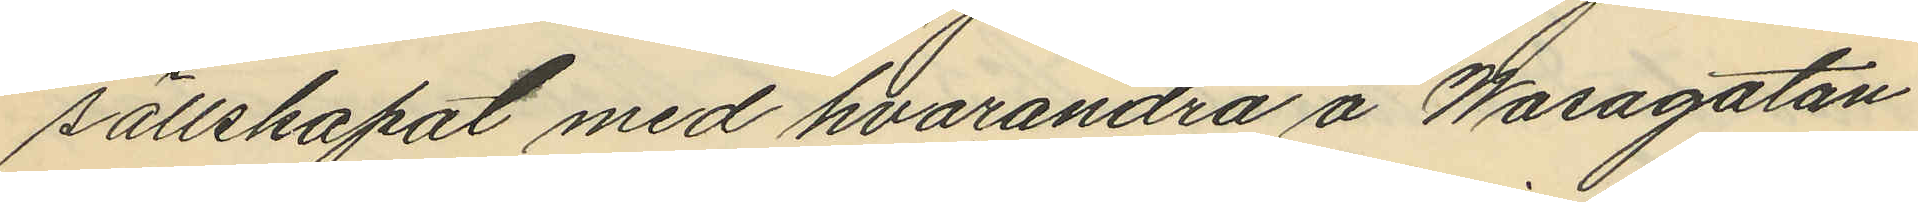sällskapat med hvarandra å Wasagatan
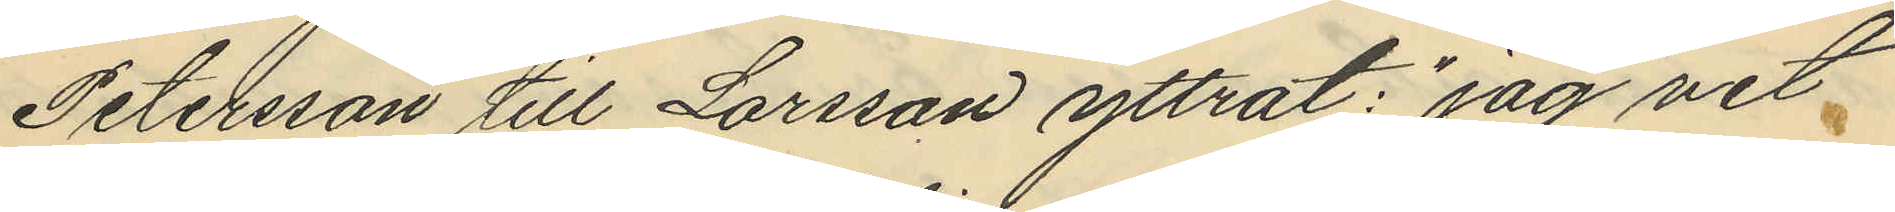Petersson till Larsson yttrat: "jag vet
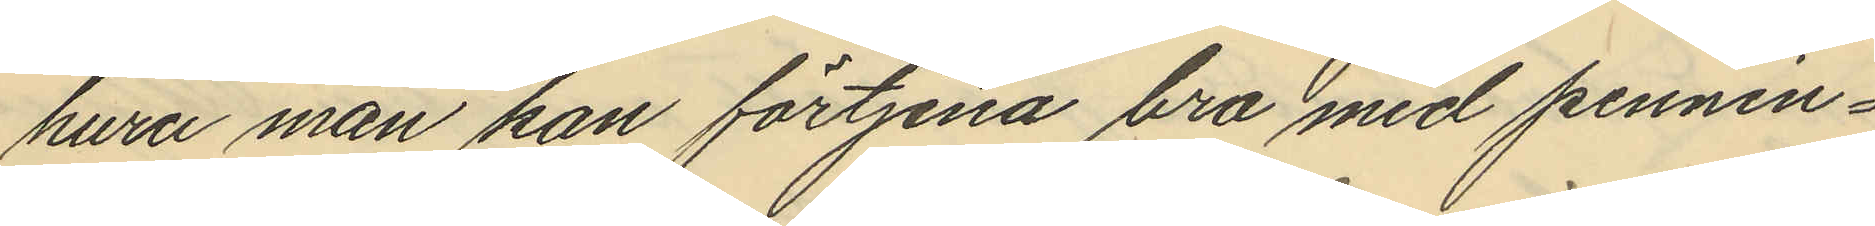huru man kan förtjena bra med pennin¬
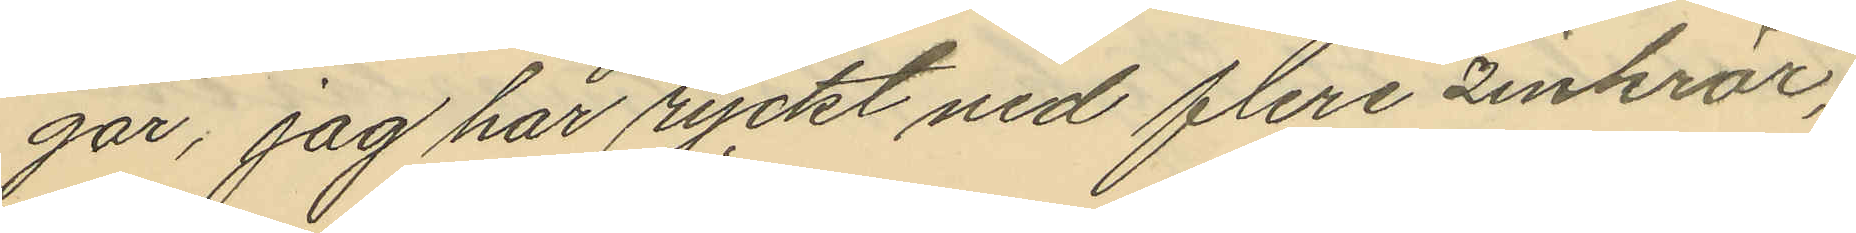gar, jag har ryckt ned flere zinkrör,"
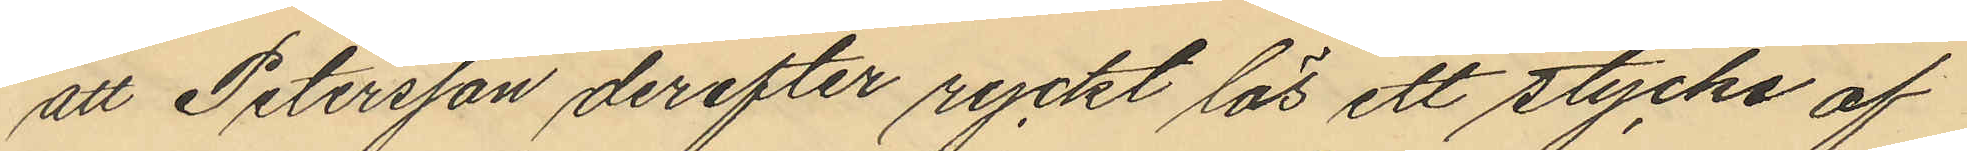att Petersson derefter ryckt lös ett stycke af
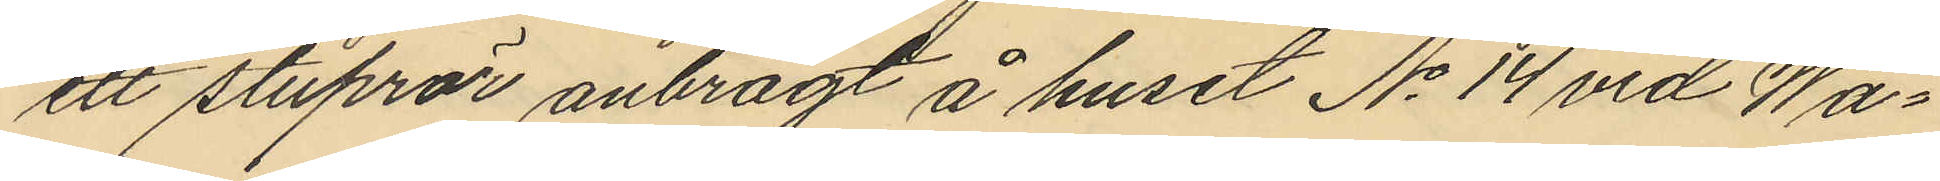ett stuprör anbragt å huset No 14 vid Wa¬
